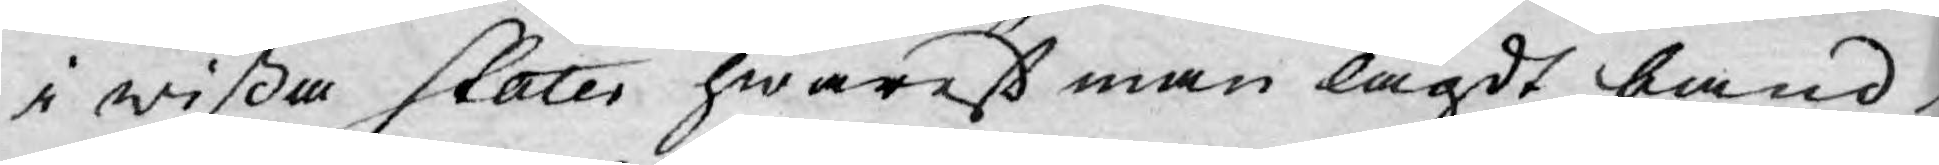i wißa stater hwarest man lagdt band
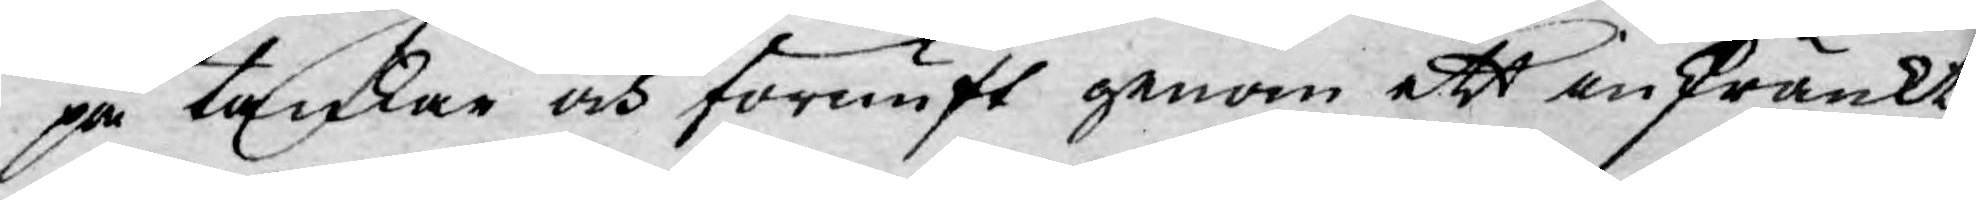på tankar och förnuft genom ett inskränkt
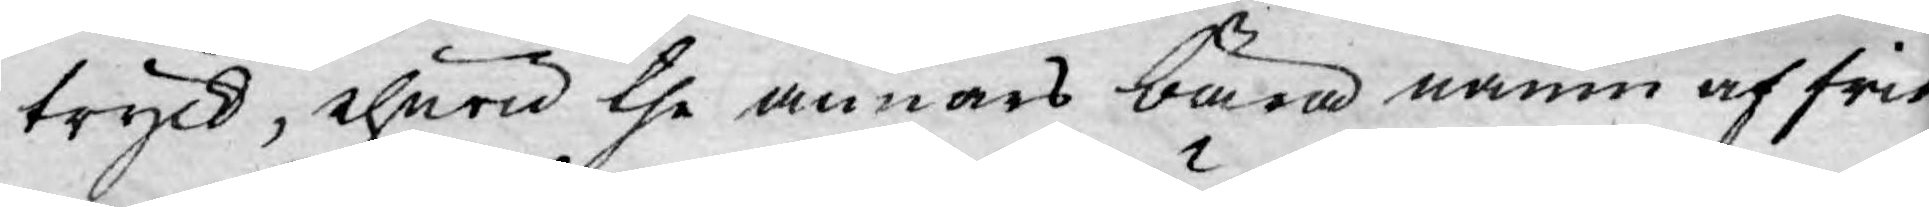tryck, ehuru the annars bära namn af fria.
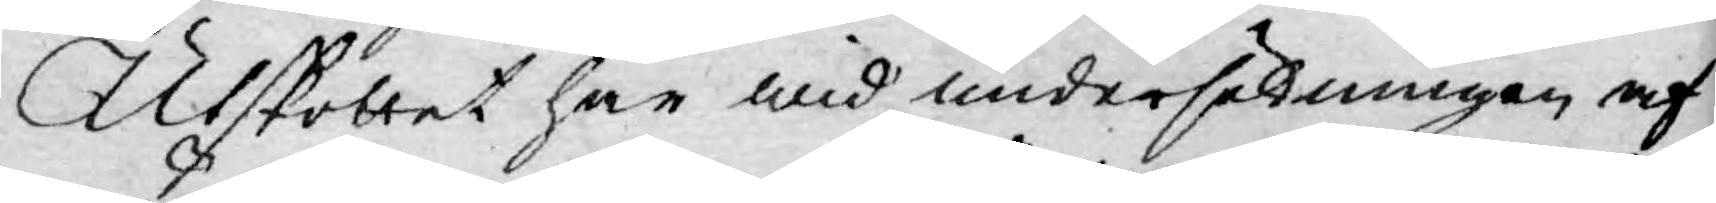Utskottet har wid undersökningen af
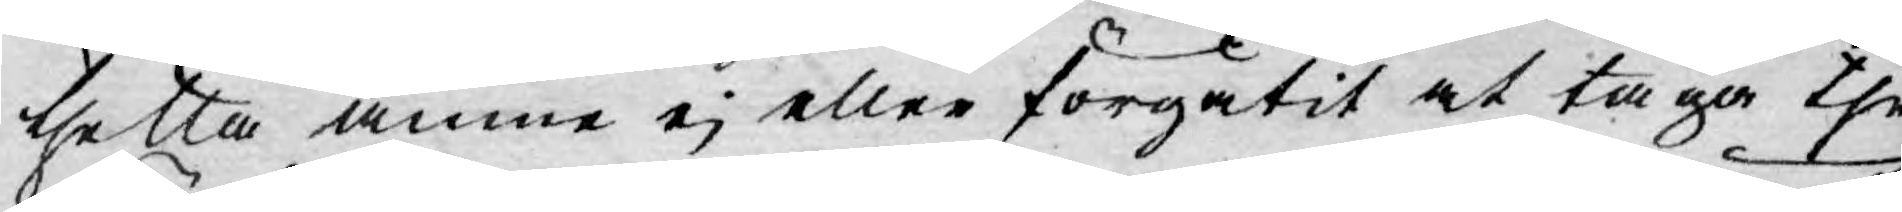thetta ämne ej eller forgätit at taga the
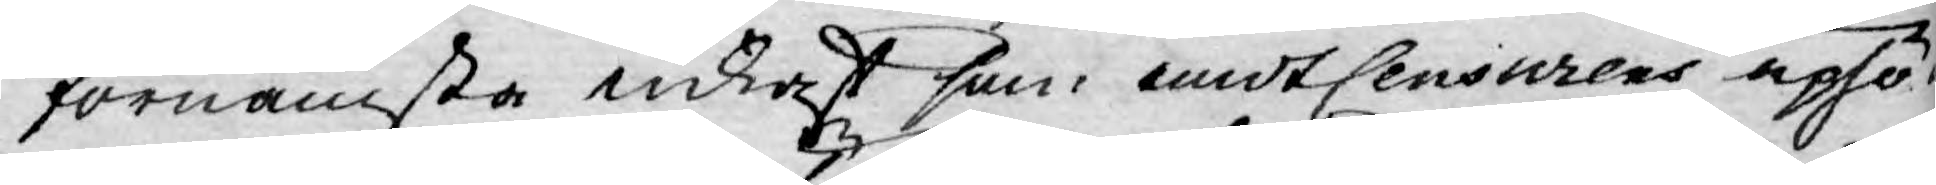förnämsta inkast som mot Censurens uphö¬
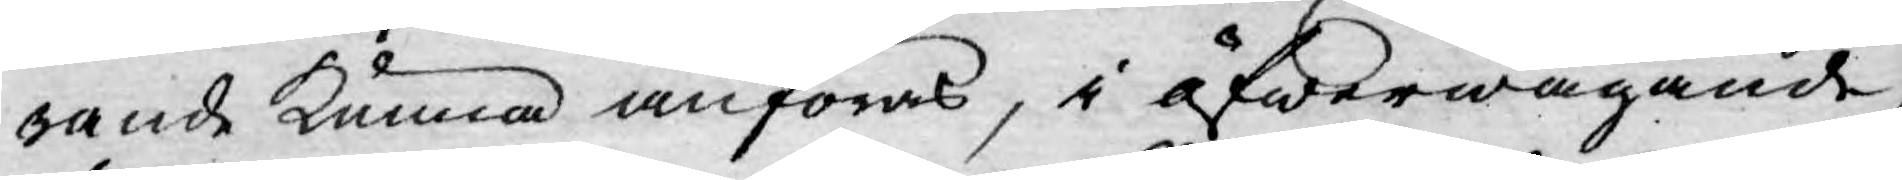rande kunna anföras, i öfwerwägande,
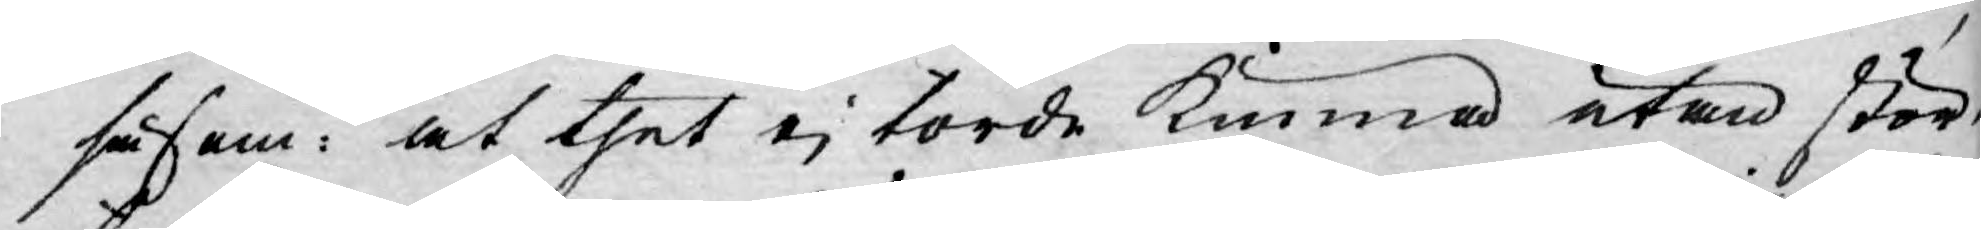såsom: at thet ej torde kunna utan stör¬
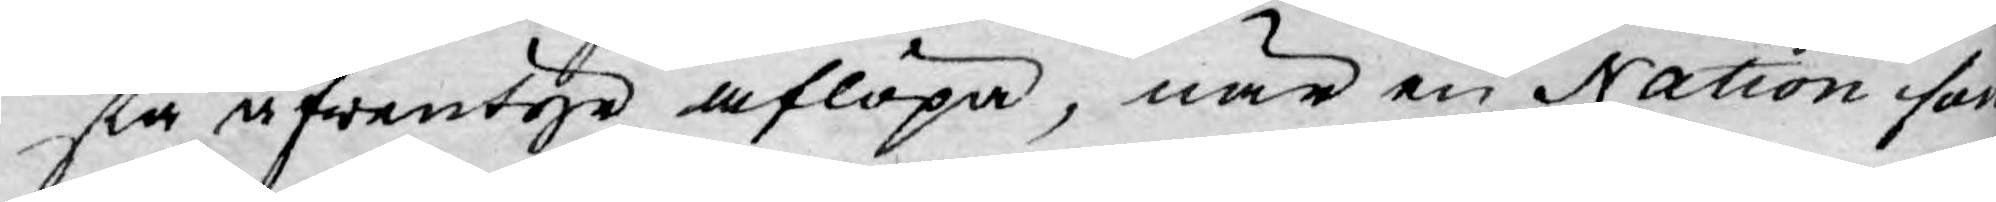sta äfwentyre aflöpa, när en Nation som
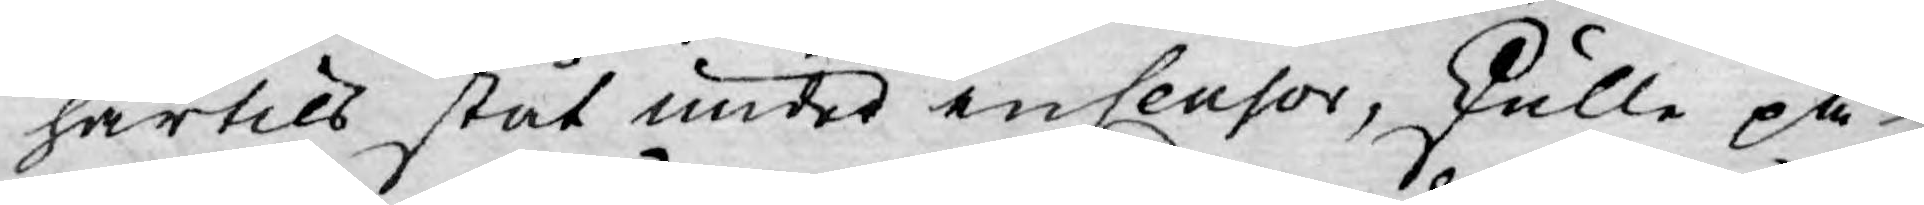härtils ståt under en Censor, skulle på
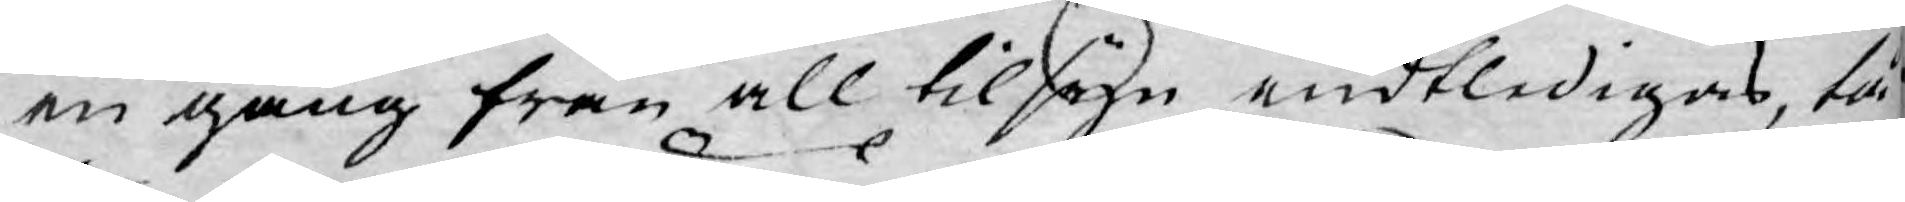en gång från all tilsyn endtledigas, tå
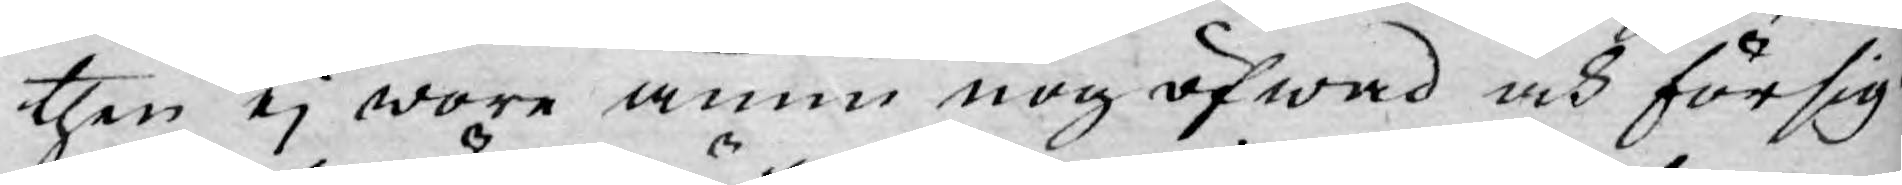then ej wore ännu nog öfwad och försig¬
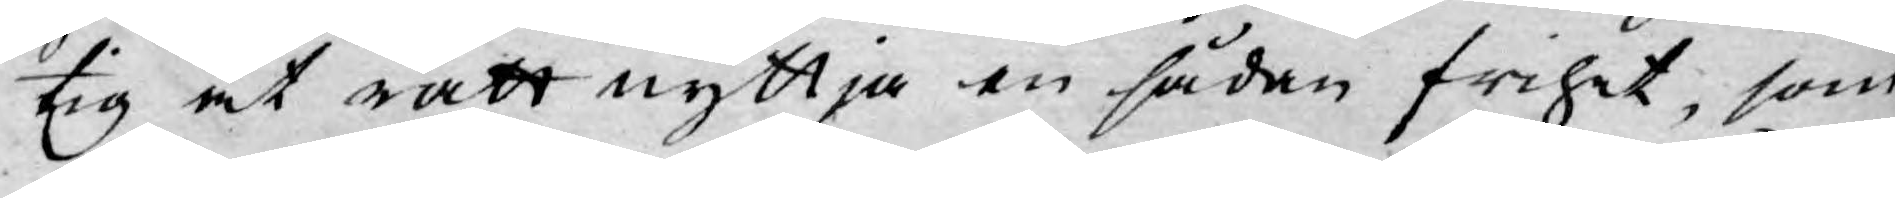tig at rätt nyttja en sådan frihet, som
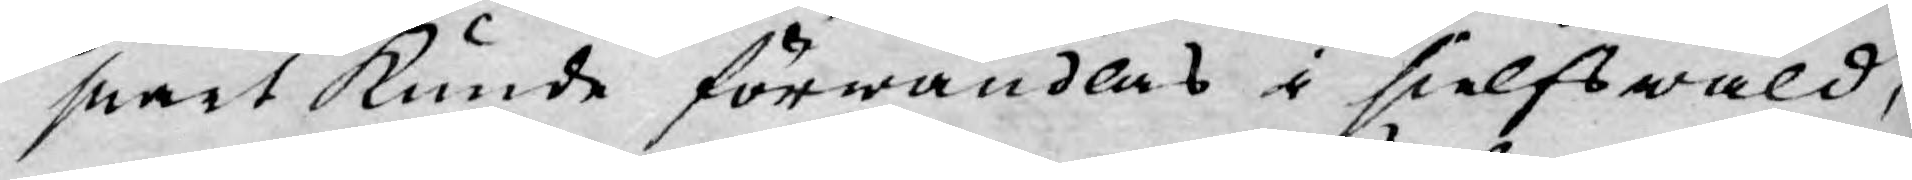snart kunde förwandlas i sielfswåld,
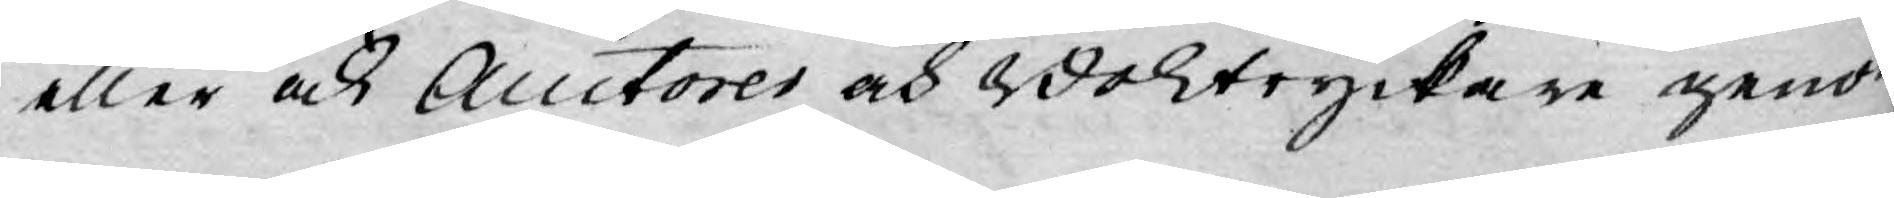eller ock Auctores och Boktryckare genom
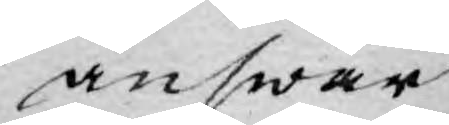answar
